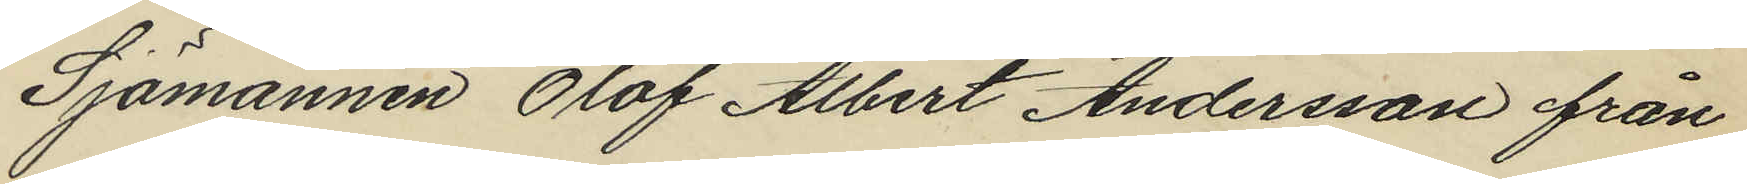Sjömannen Olof Albert Andersson från
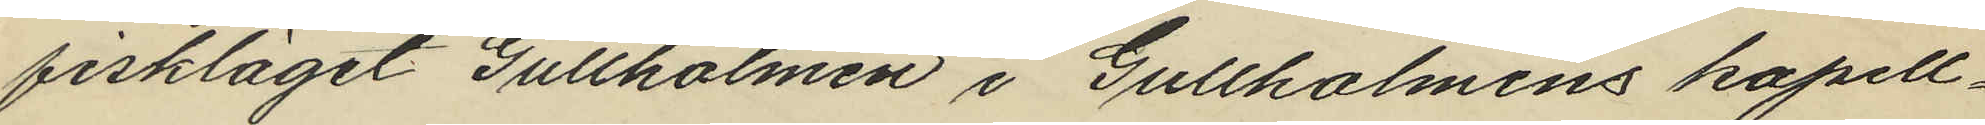fiskläget Gullholmen i Gullholmens kapell¬
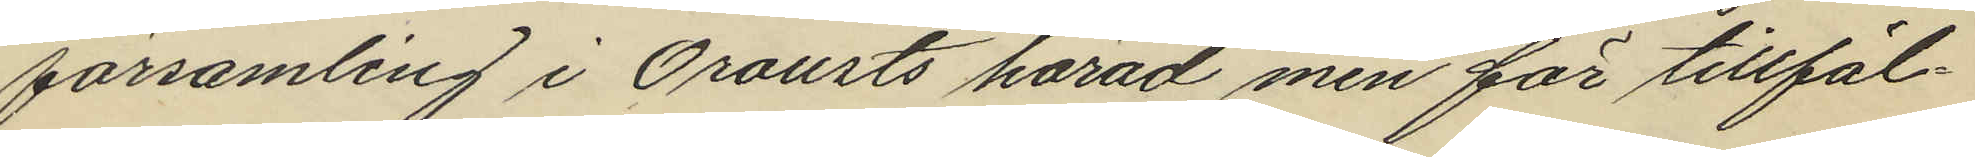församling i Orousts härad men för tillfäl¬
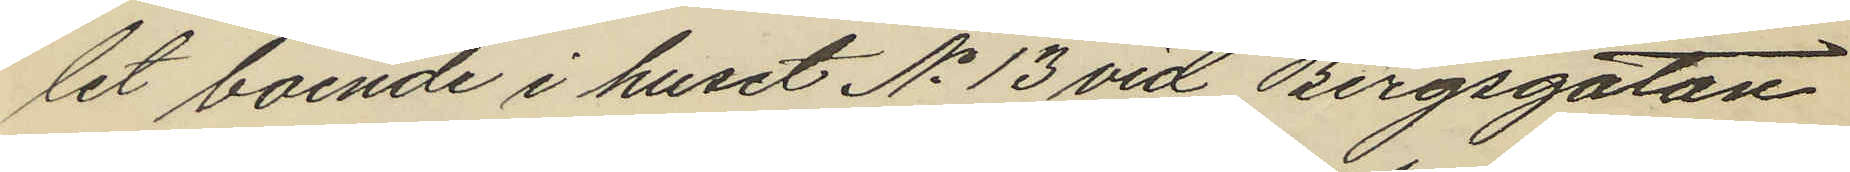let boende i huset No 13 vid Bergsgatan
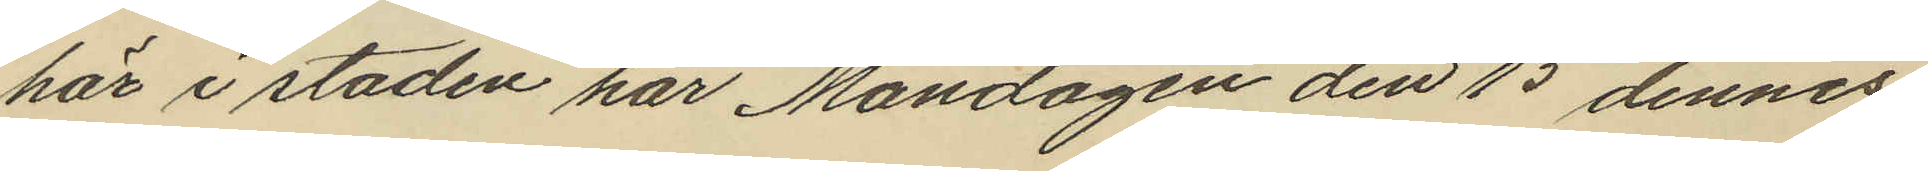här i staden har Måndagen den 15 dennes
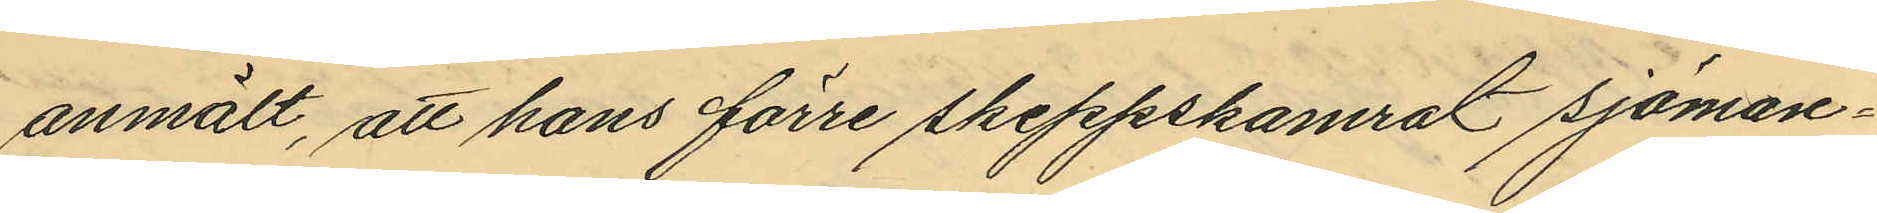anmält, att hans förre skeppskamrat sjöman¬
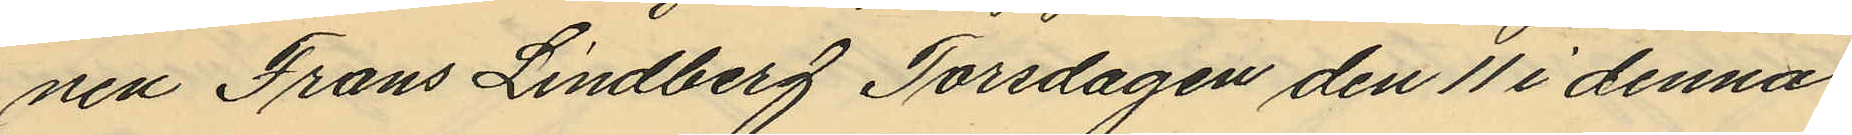nen Frans Lindberg Torsdagen den 11 i denna
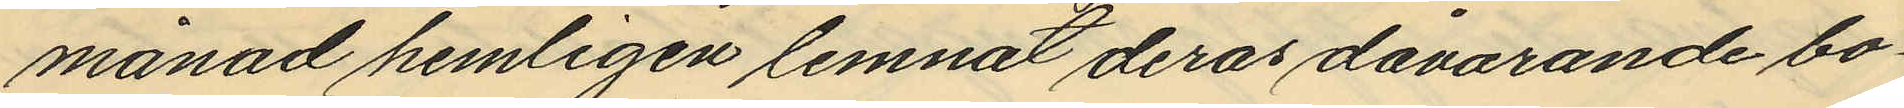månad hemligen lemnat deras dåvarande bo¬
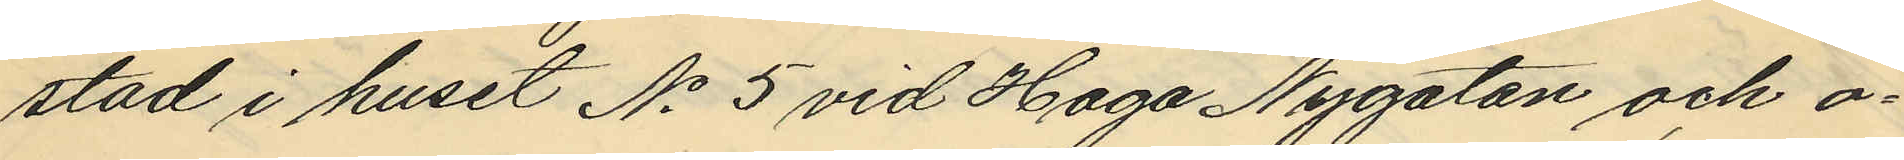stad i huset No 5 vid Haga Nygatan och o¬
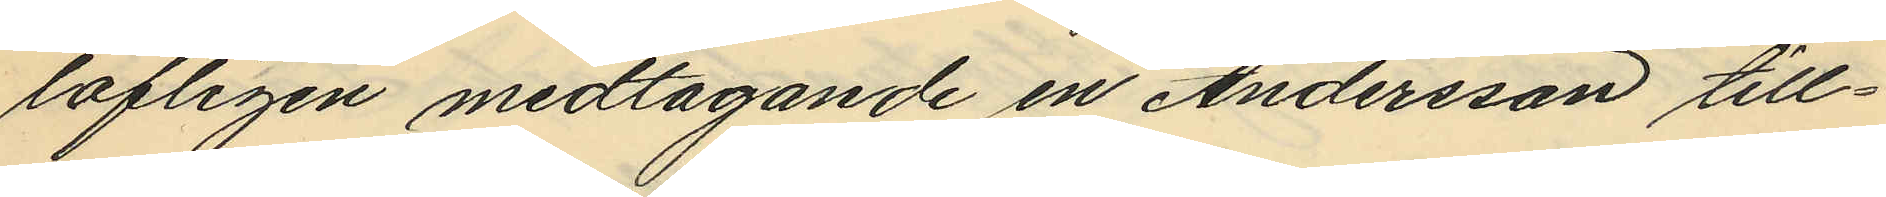lofligen medtagande en Andersson till¬
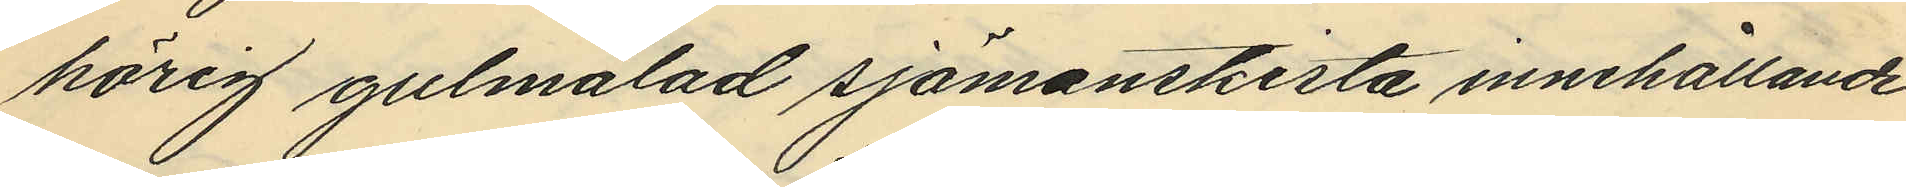hörig gulmålad sjömanskista innehållande
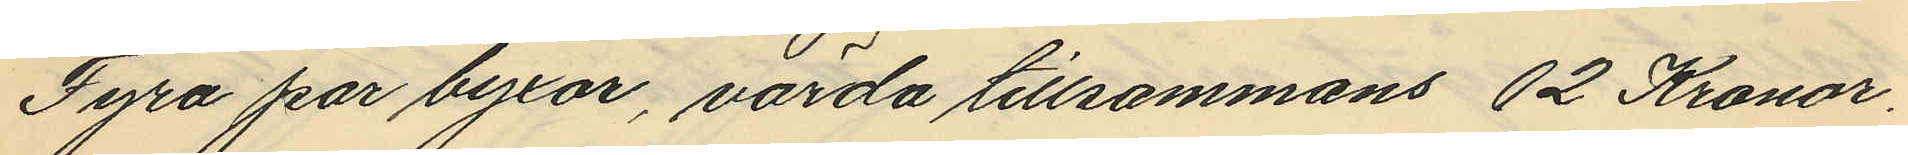Fyra par byxor, värda tillsammans 12 Kronor,
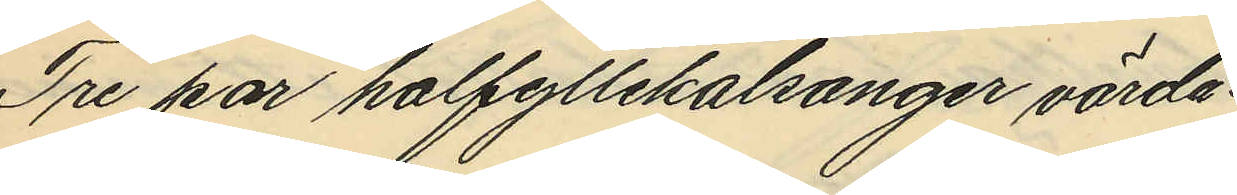Tre par halfyllekalsonger värda
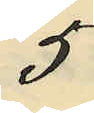5
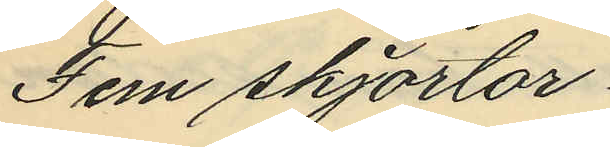Fem skjortor;
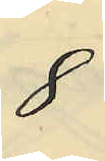8
